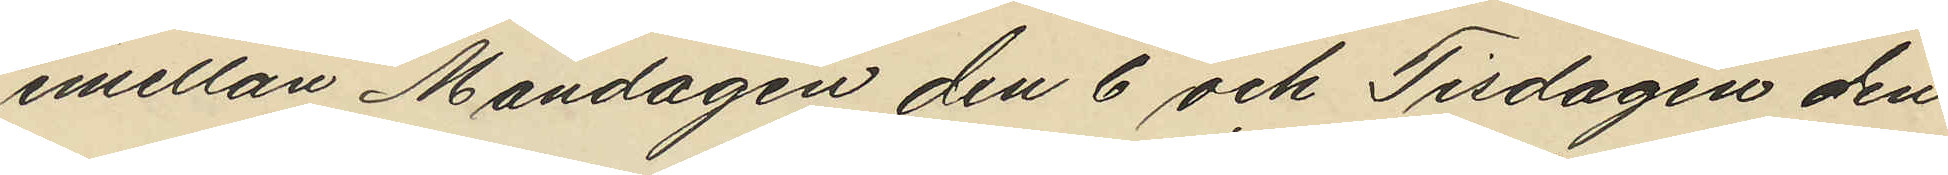emellan Måndagen den 6 och Tisdagen den
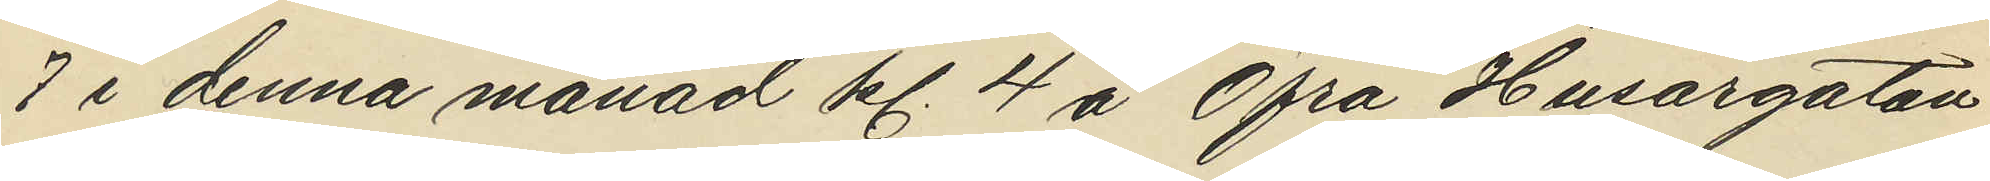7 i denna månad kl. 4 å Öfra Husargatan
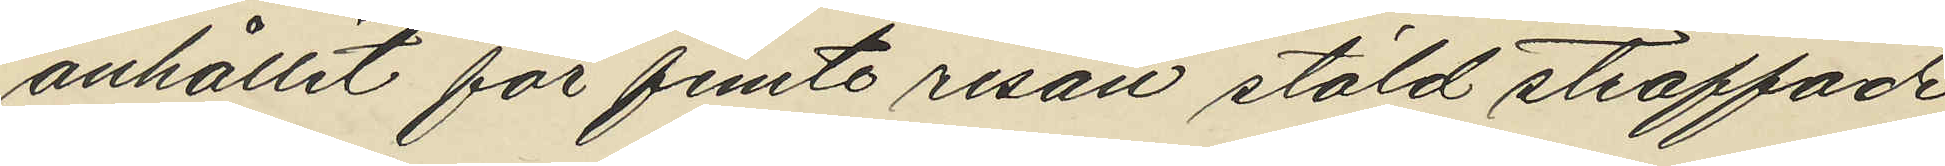anhållit för femte resan stöld straffade
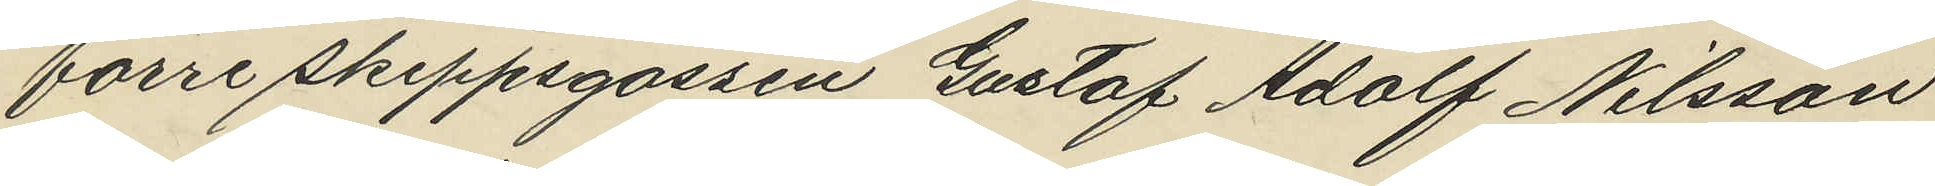förre skeppsgossen Gustaf Adolf Nilsson
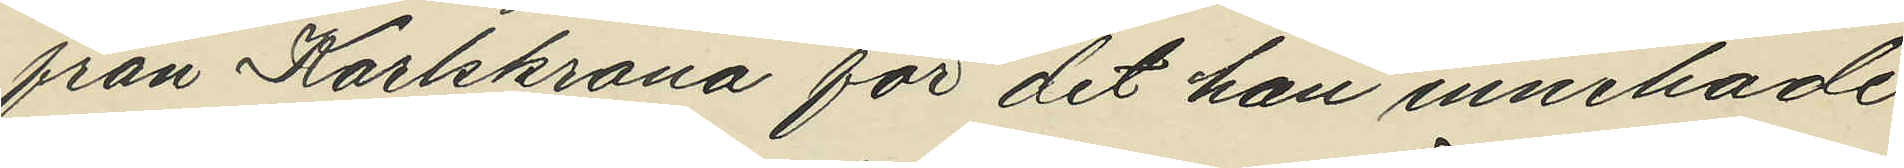från Karlskrona för det han innehade
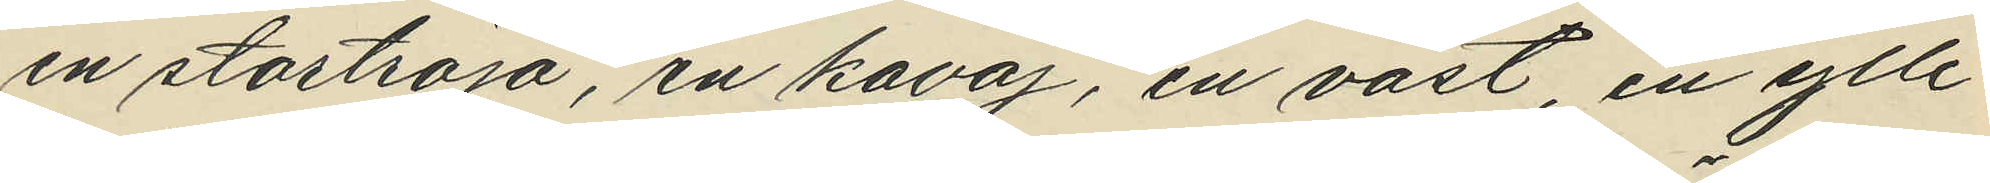en stortröja, en kavaj, en väst, en ylle¬
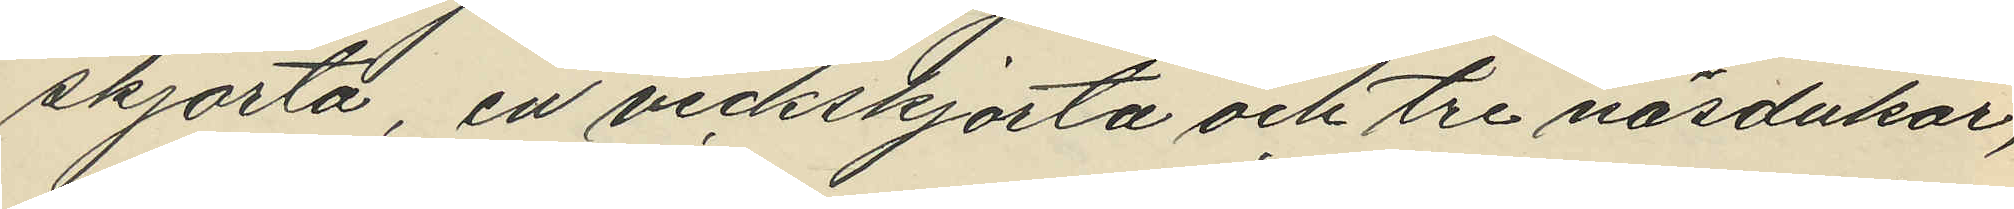skjorta, en veckskjorta och tre näsdukar,
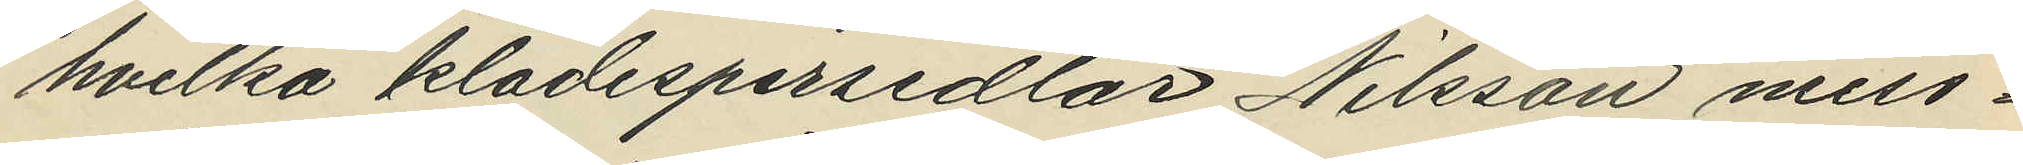hvilka klädespersedlar Nilsson miss¬
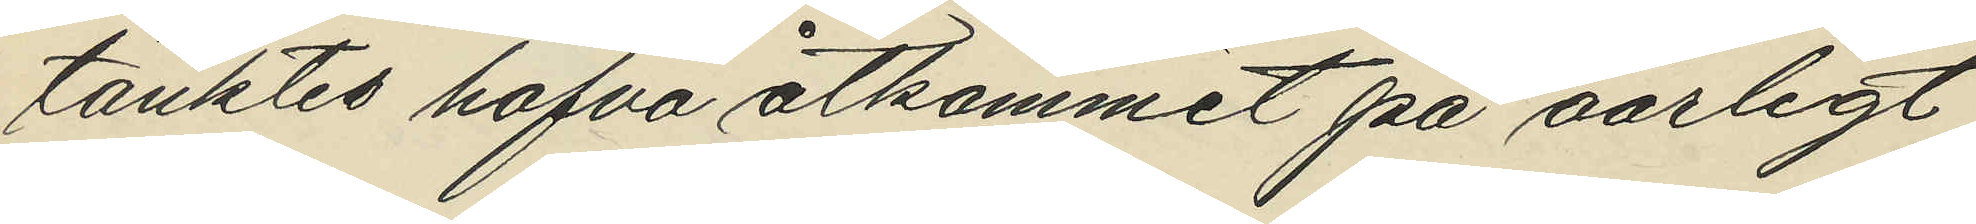tänktes hafva åtkommit på oärligt
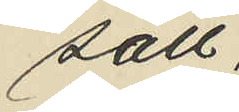sätt.
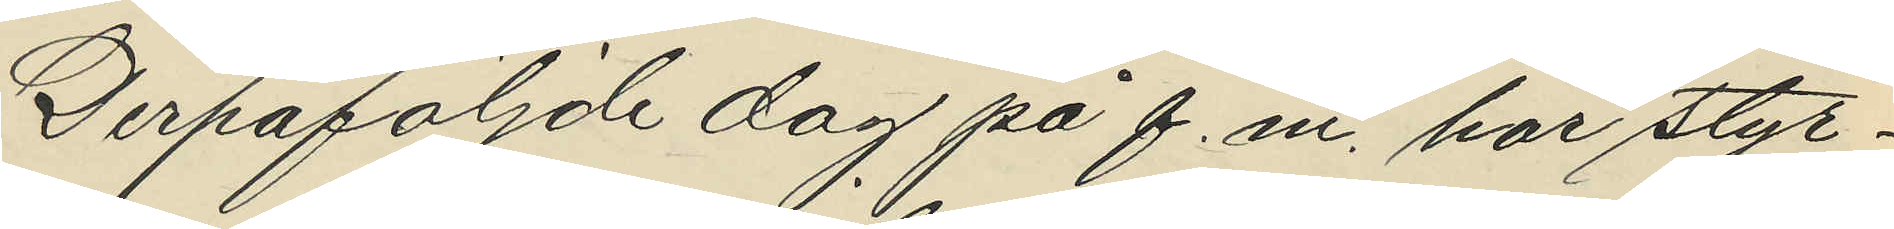Derpåföljde dag på f.m. har styr¬
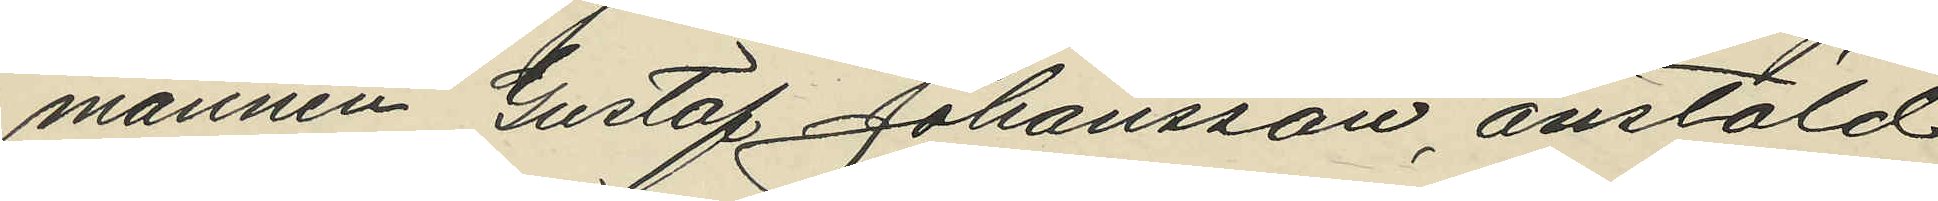mannen Gustaf Johansson, anstäld
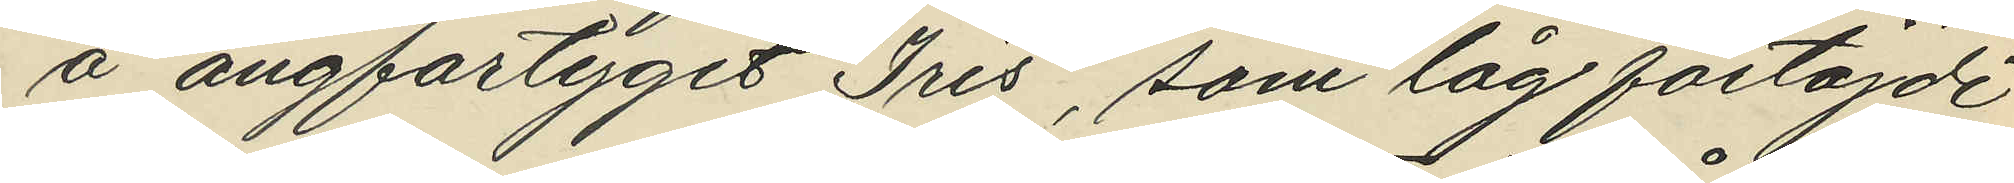å ångfartyget "Iris", som låg förtöjdt
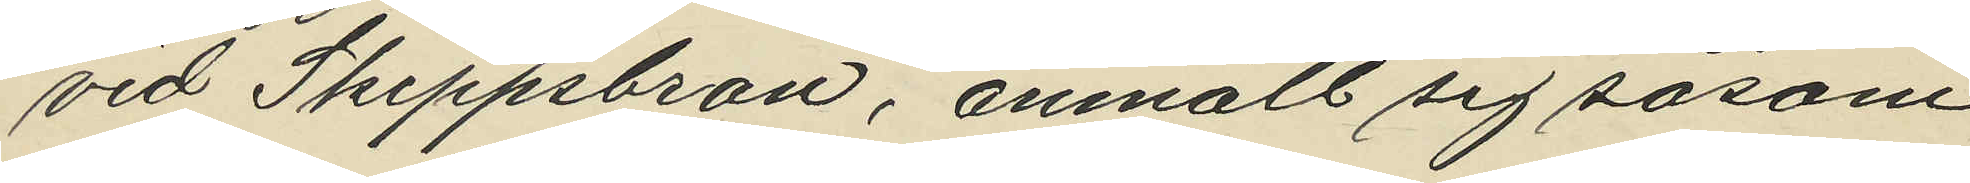vid Skeppsbron, anmält sig såsom
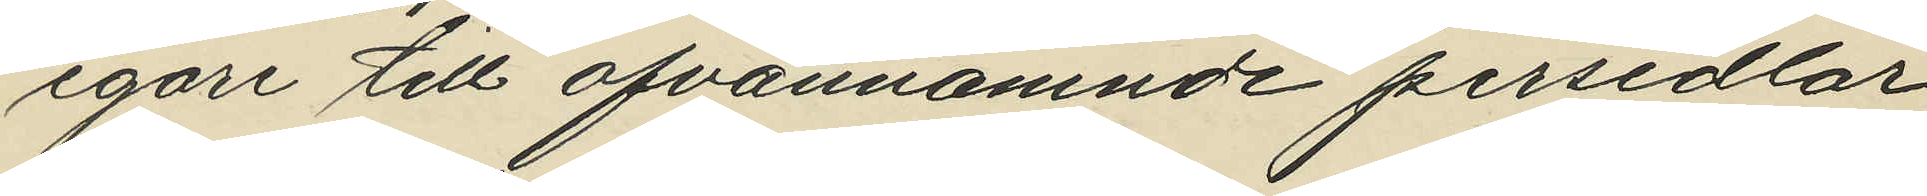egare till ofvannämnde persedlar
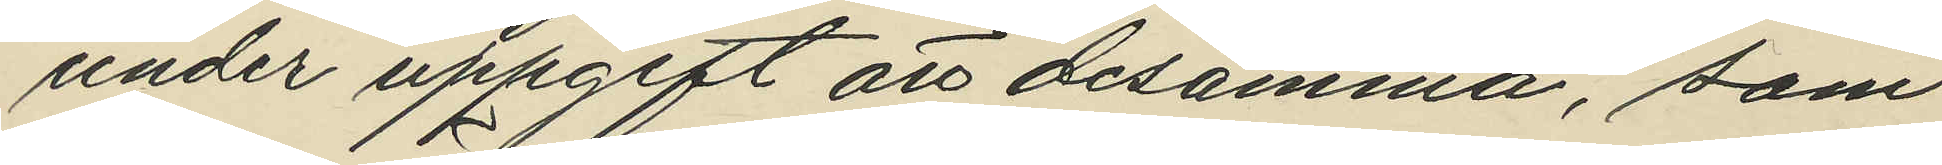under uppgift att desamma, som
